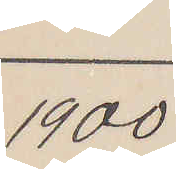1900
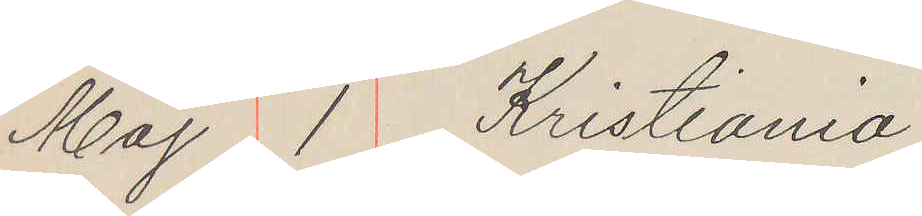Maj 1 Kristiania
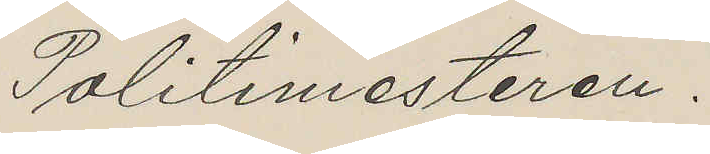Politimesteren.
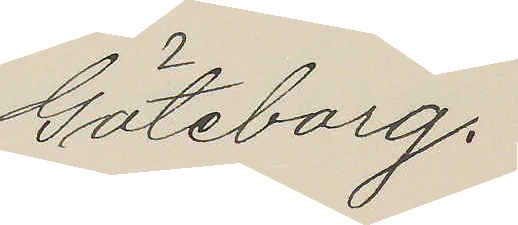Göteborg.
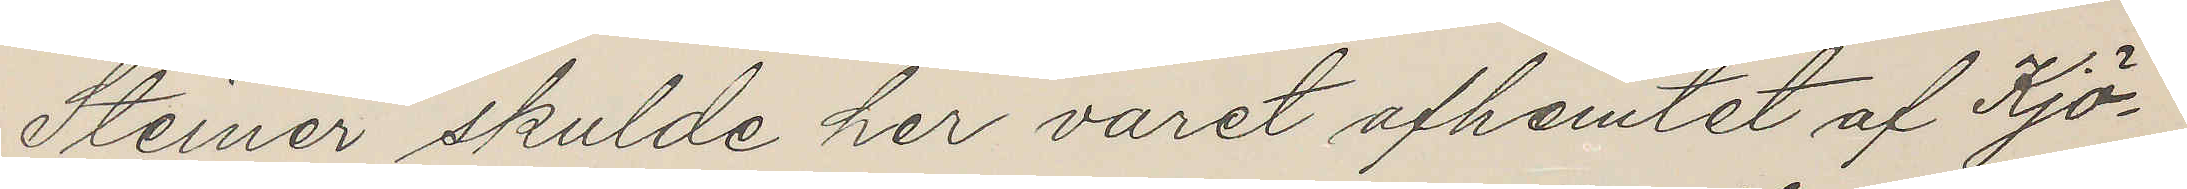Steiner skulde her varet afhemtet af Kjö¬
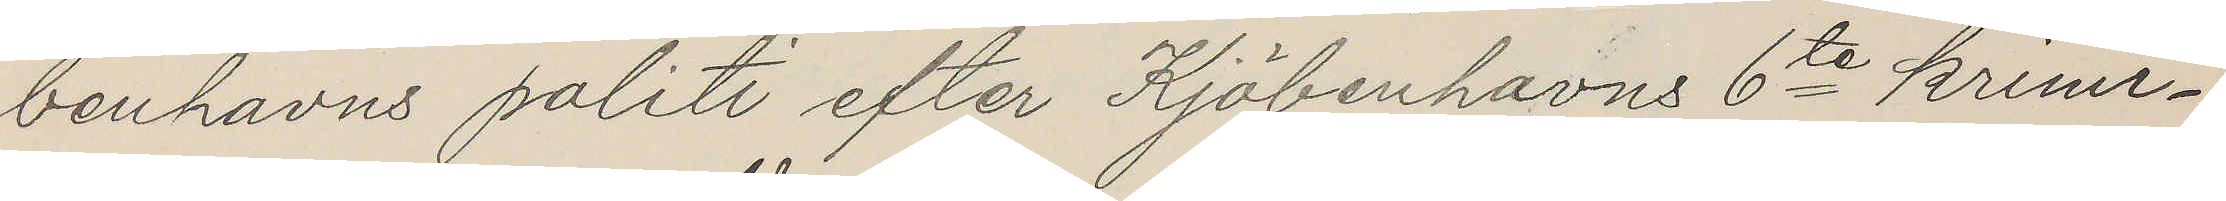benhavns politi efter Kjöbenhavns 6te krimi¬
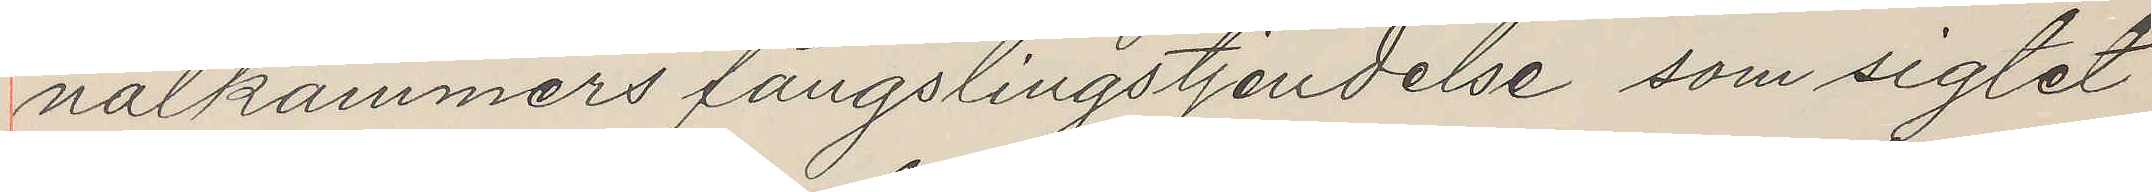nalkammers fängslingstjendelse som sigtet
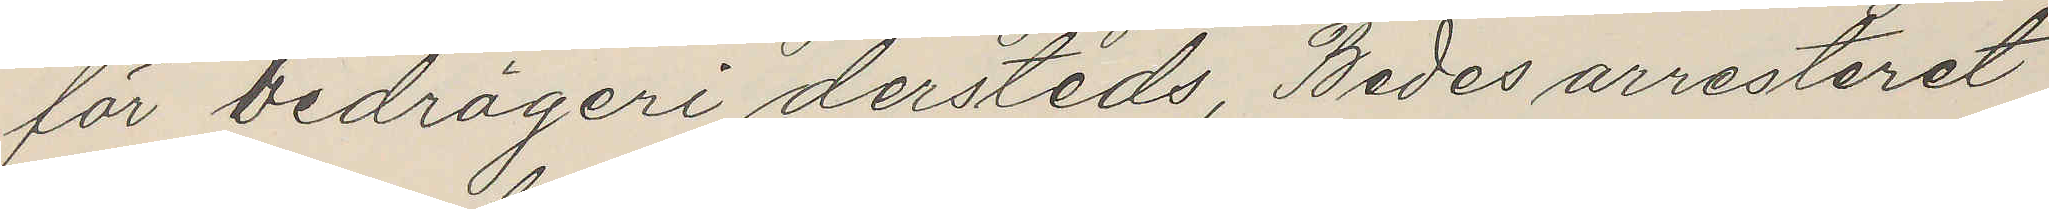för bedrägeri dersteds, Bedes arresteret
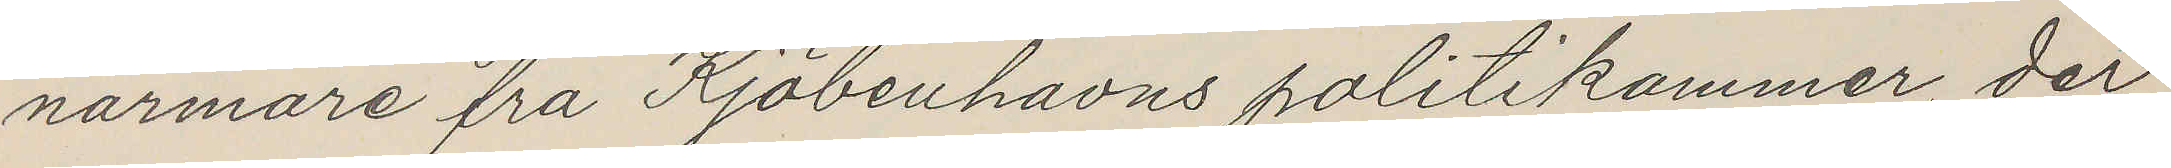närmare fra Kjöbenhavns politikammer, der
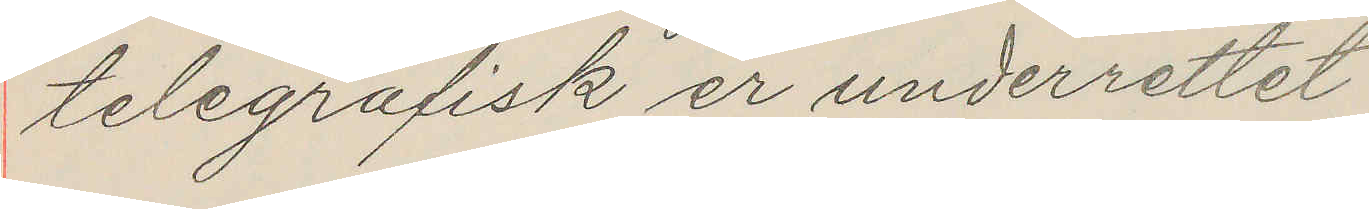telegrafisk er underrettet
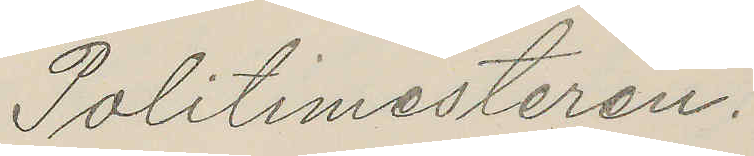Politimesteren.
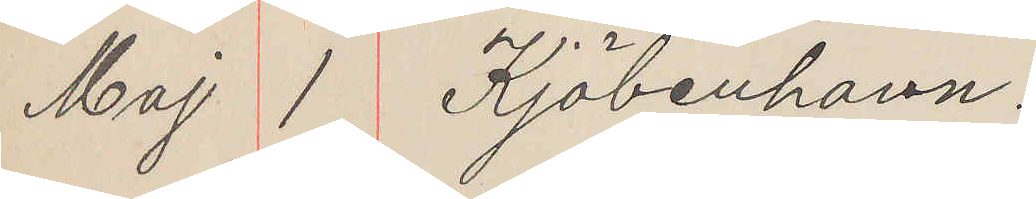Maj 1 Kjöbenhavn.
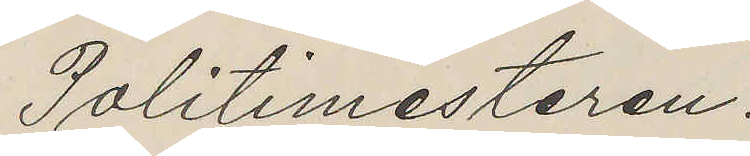Politimesteren.
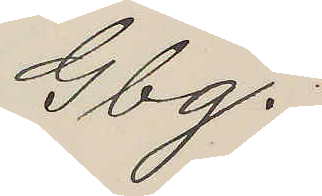Gbg.
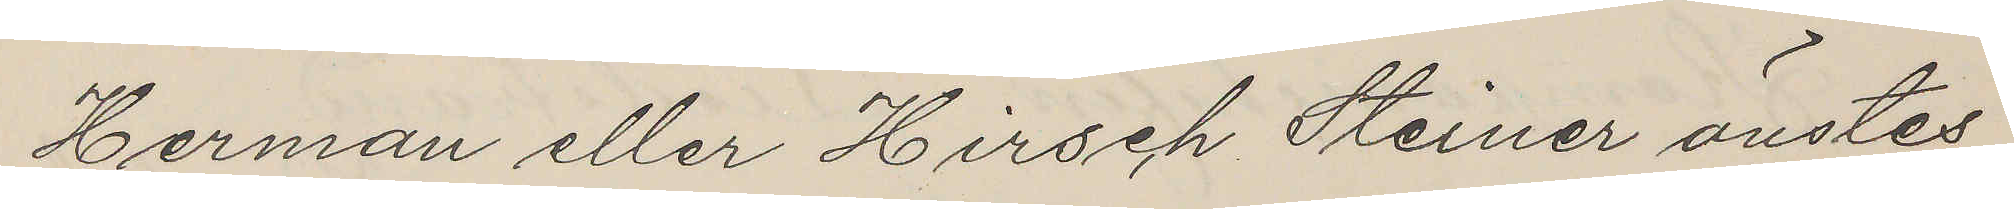Herman eller Hirsch Steiner önstes
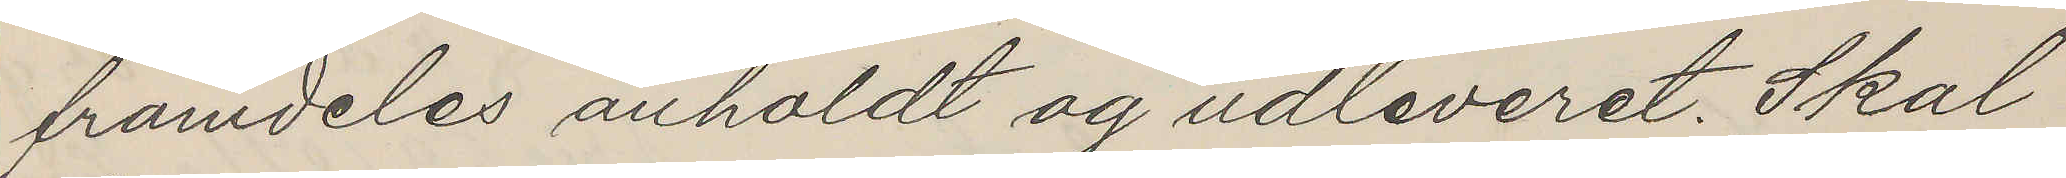framdeles anholdt og udleveret. Skal
